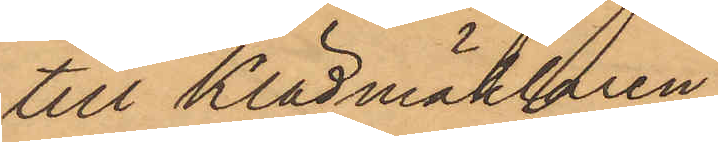till Klädmäklaren
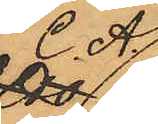C.A.
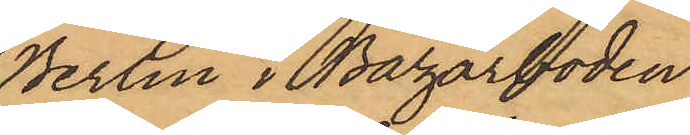Berlin i Bazarboden
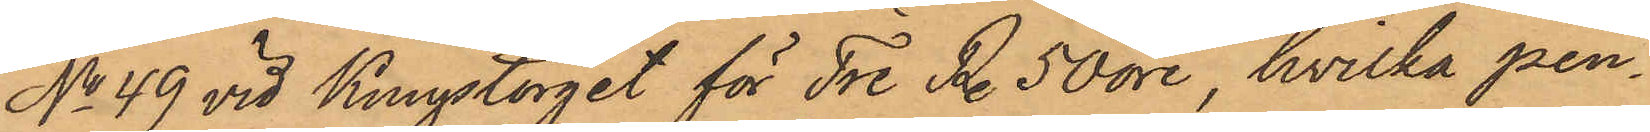No 49 vid Kungstorget för Tre Rdr 50 öre, hvilka pen¬
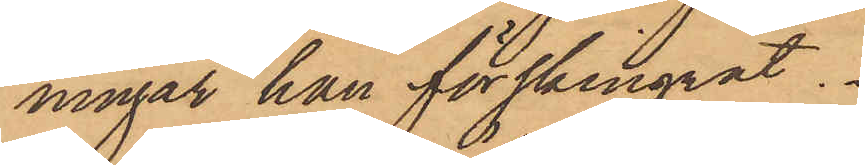ningar han förskingrat.
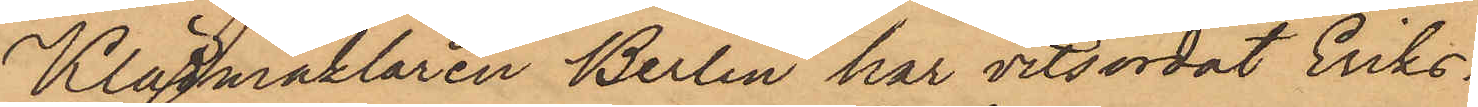Klädmäklaren Berlin har vitsordat Eriks¬
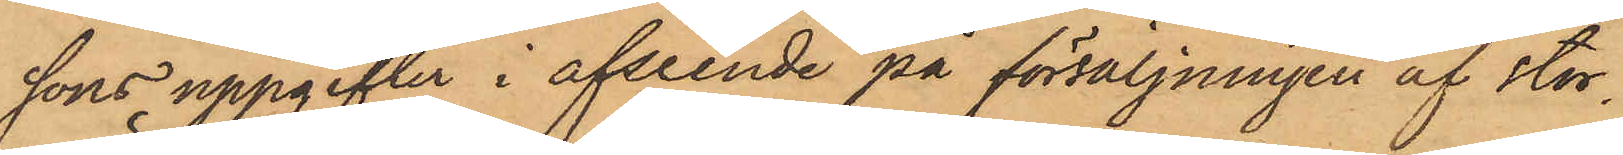sons uppgifter i afseende på försäljningen af stor¬
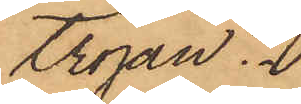tröjan.
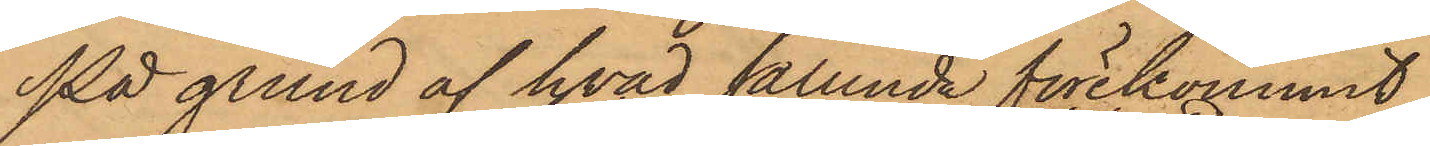På grund af hvad sålunda förekommit,
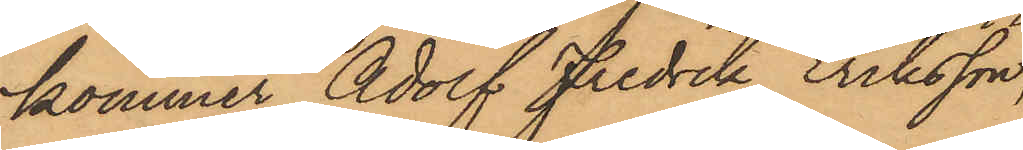kommer Adolf Fredrik Eriksson,
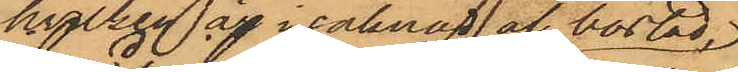hvilken är i saknad af bostad,
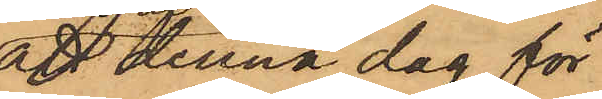att denna dag för
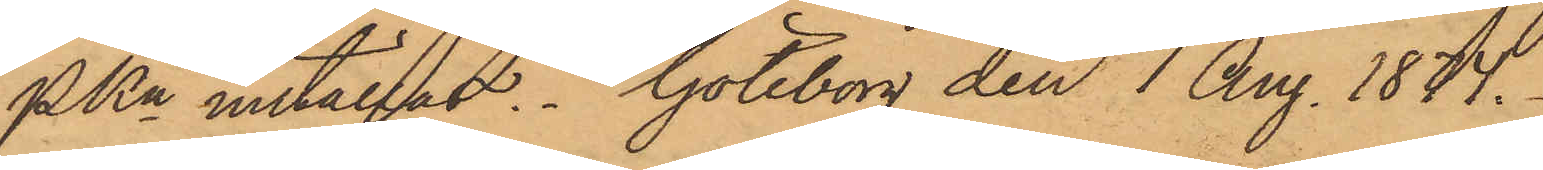PKn inställas. Göteborg den 7 Aug. 1874.
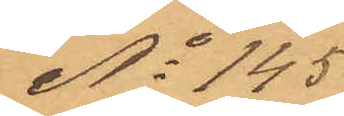No 145
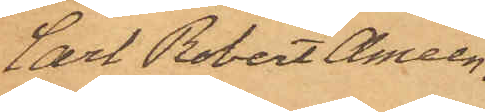Carl Robert Ameen
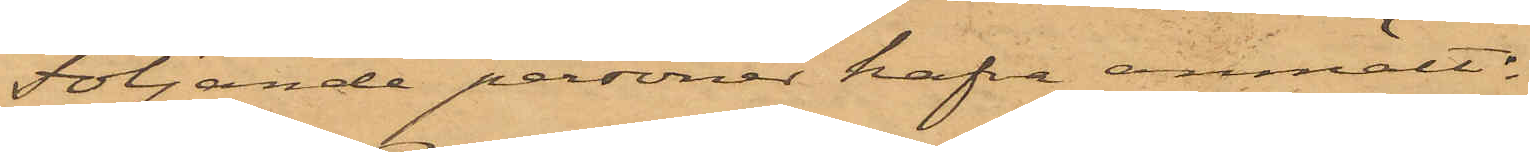Följande personer hafva anmält:
